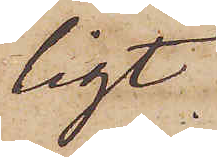ligt
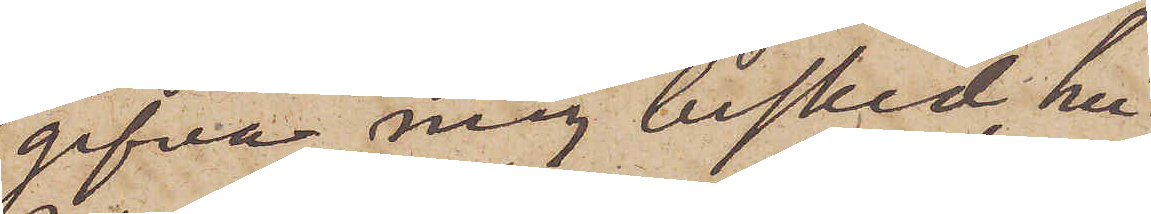gifva mig besked, hu¬
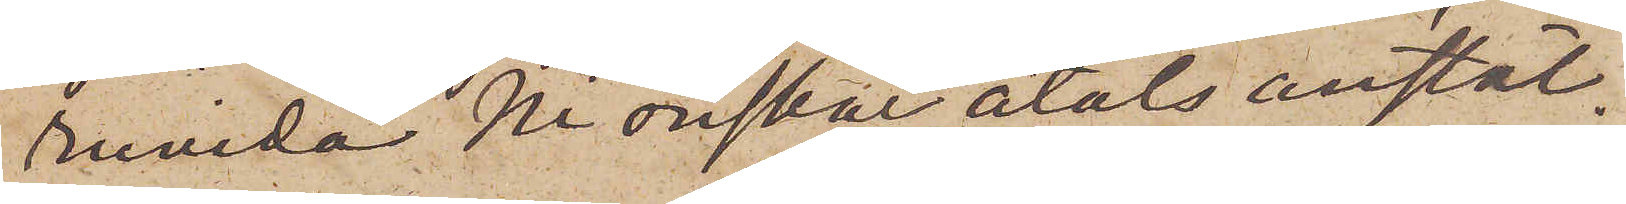ruvida Ni önskar åtals anstäl¬
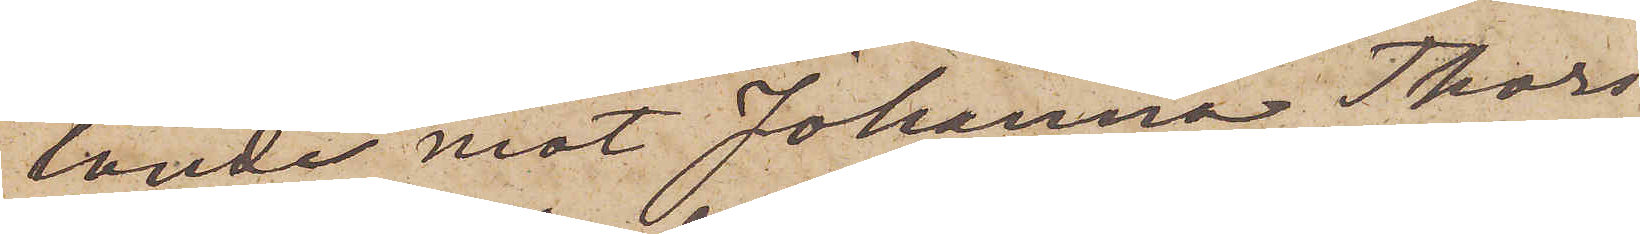lande mot Johanna Thors¬
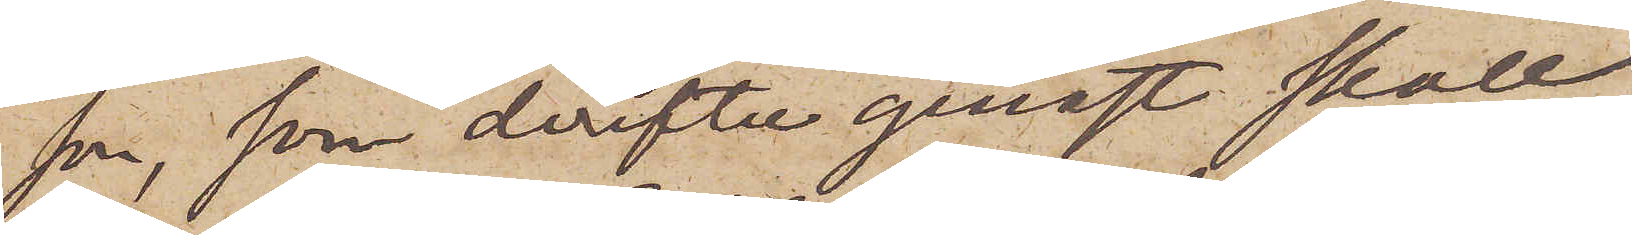son, som derefter genast skall
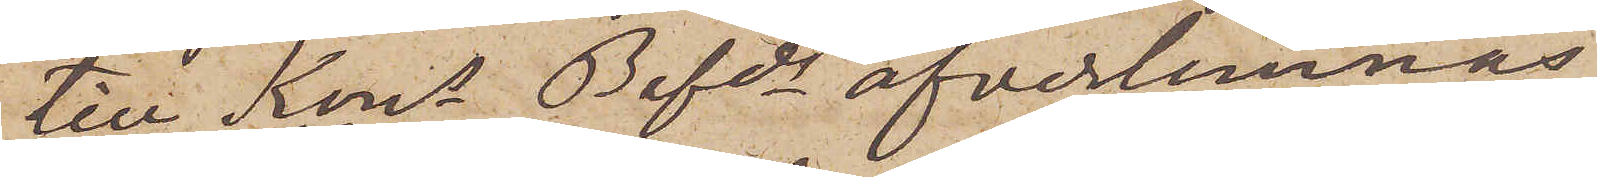till Kons Befads öfverlemnas
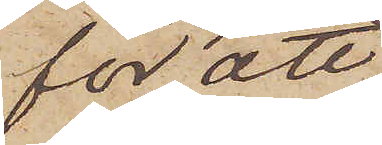för att
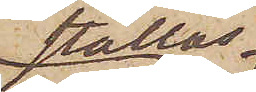ställas
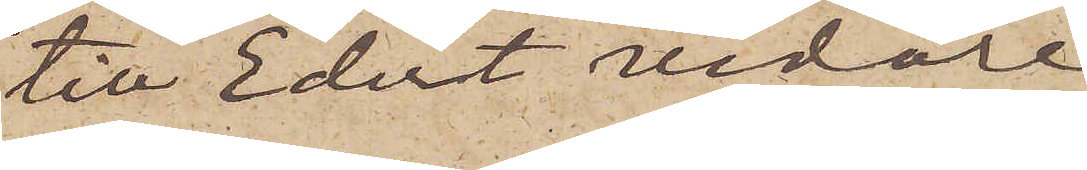till Edert vidare
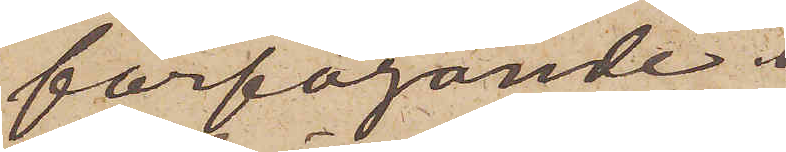förfogande.
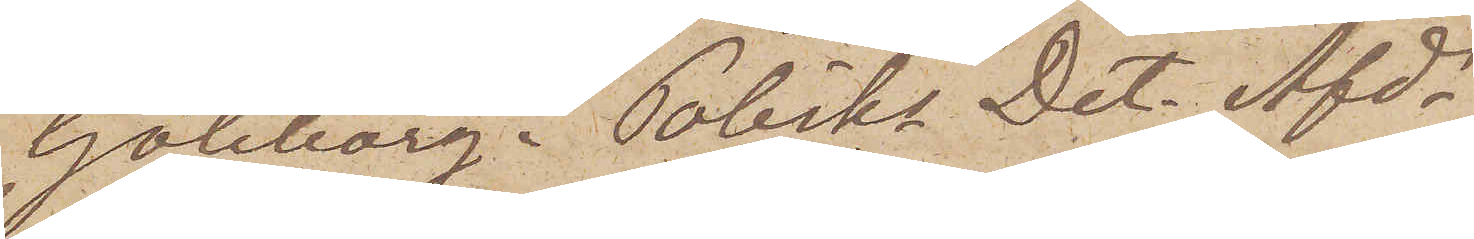Göteborg i Polisks Det. Afds
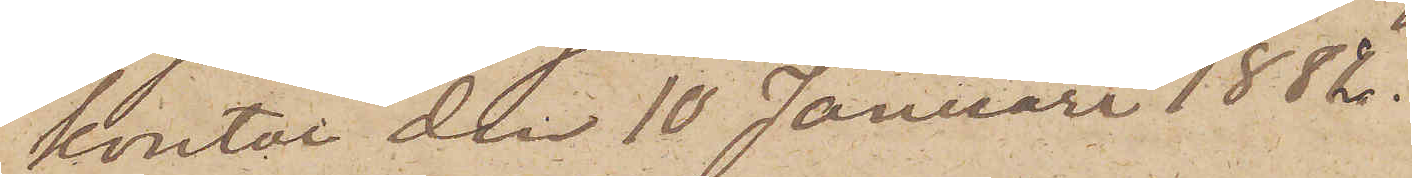kontor den 10 Januari 1882.
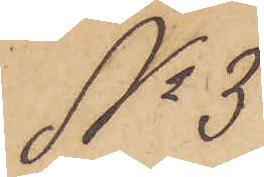No 3.
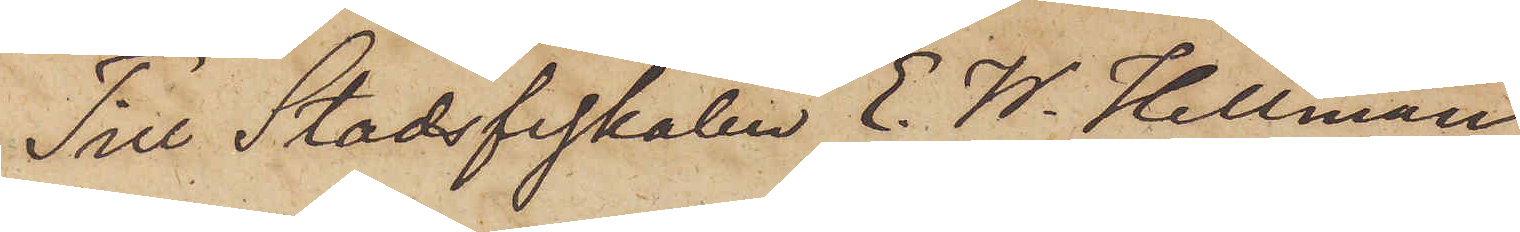Till Stadsfiskalen E. W. Hellman
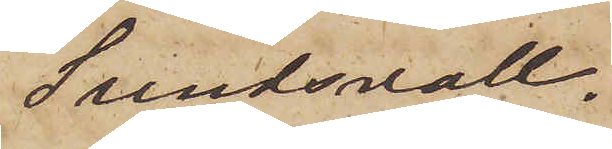Sundsvall.
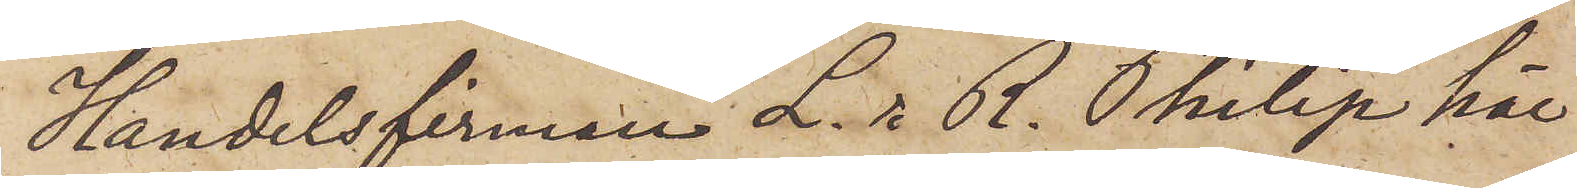Handelsfirman L. & R. Philip här
